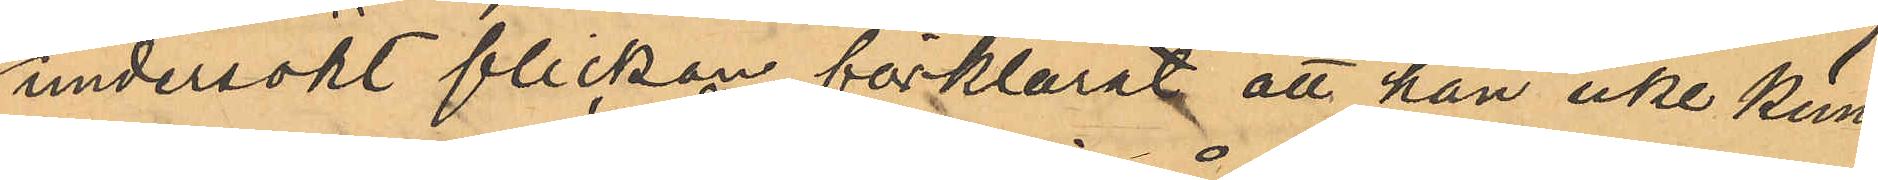undersökt flickan förklarat att han icke kun¬
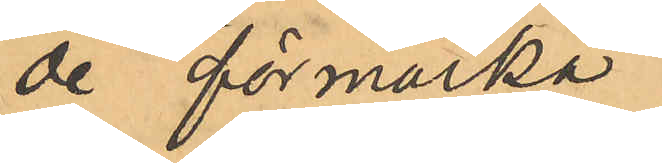de förmärka
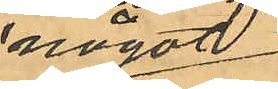något
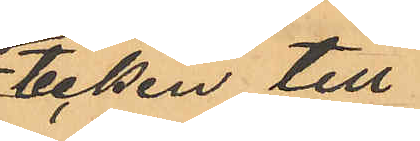tecken till
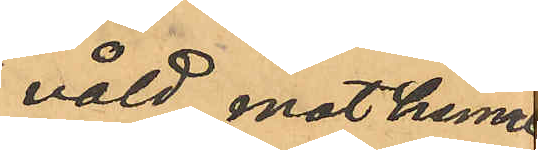våld mot henne;
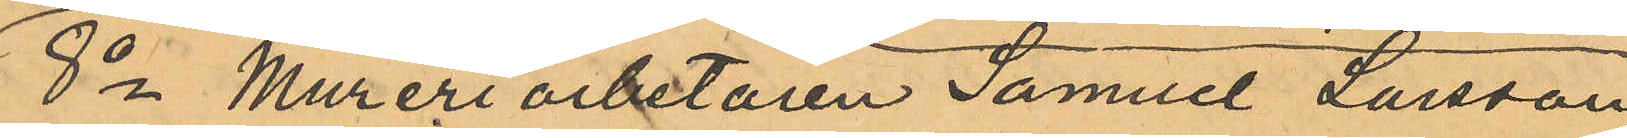8o Mureriarbetaren Samuel Larsson
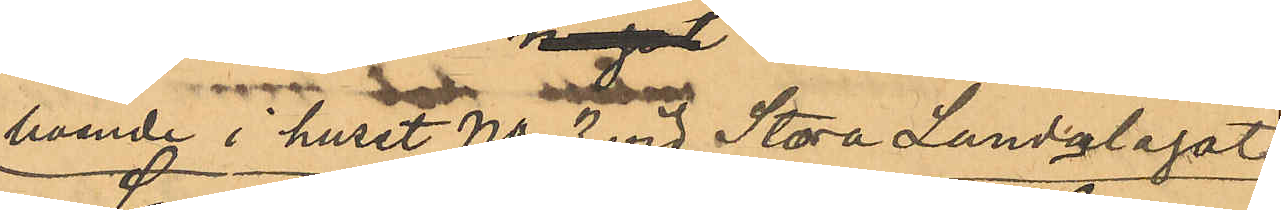boende i hust No 3 vid Stora Landalagatan
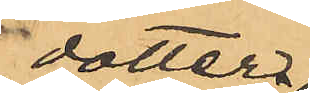dotter
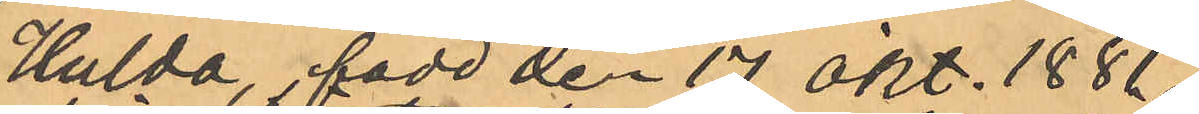Hulda, född den 17 Okt. 1881
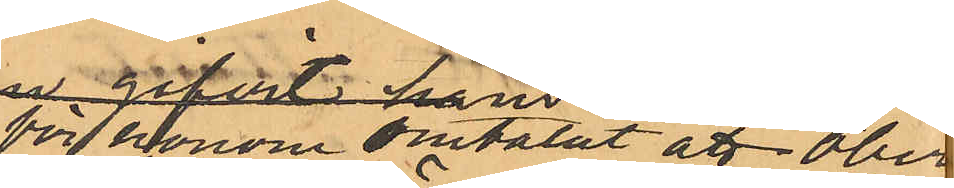för honom omtalat att Öberg
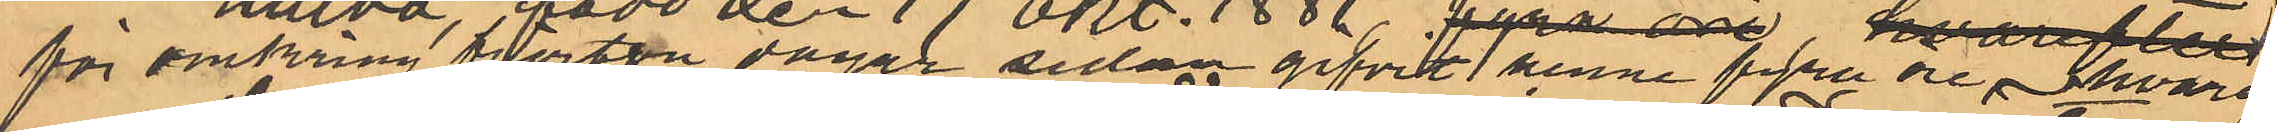för omkring fjorton dagar sedan gifvit henne fyra öre hvarpå
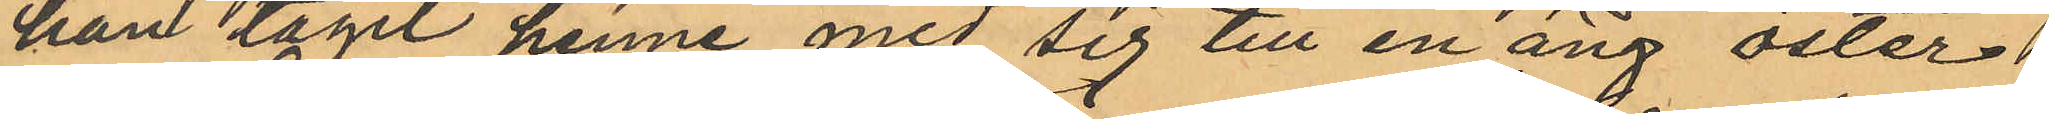han tagit henne med sig till en äng öster
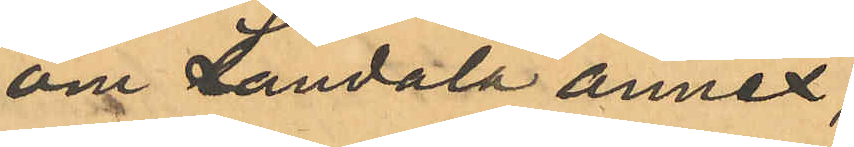om Landala annex
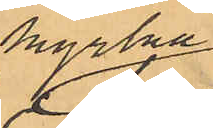kyrkan,
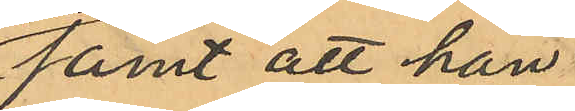samt att han
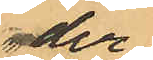der
